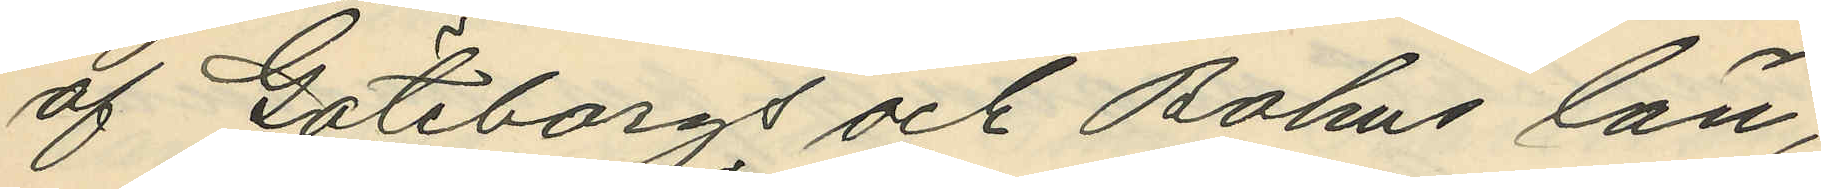af Göteborgs och Bohus län;
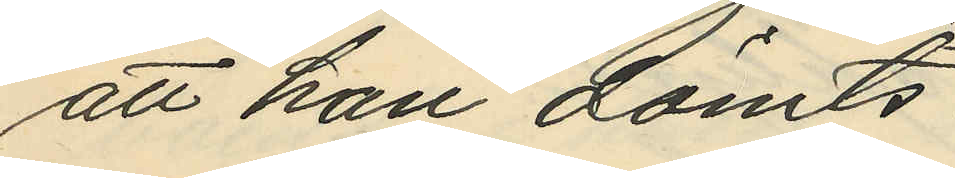att han dömts:
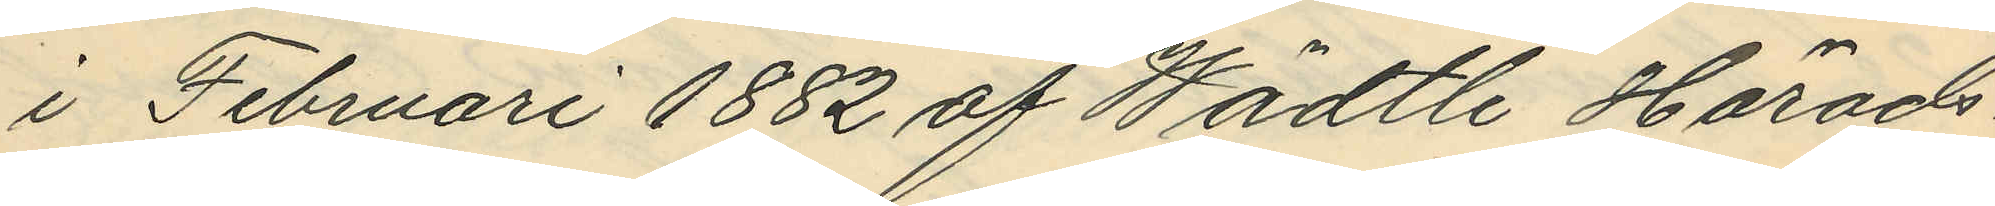i Februari 1882 af Wädtle Härads¬
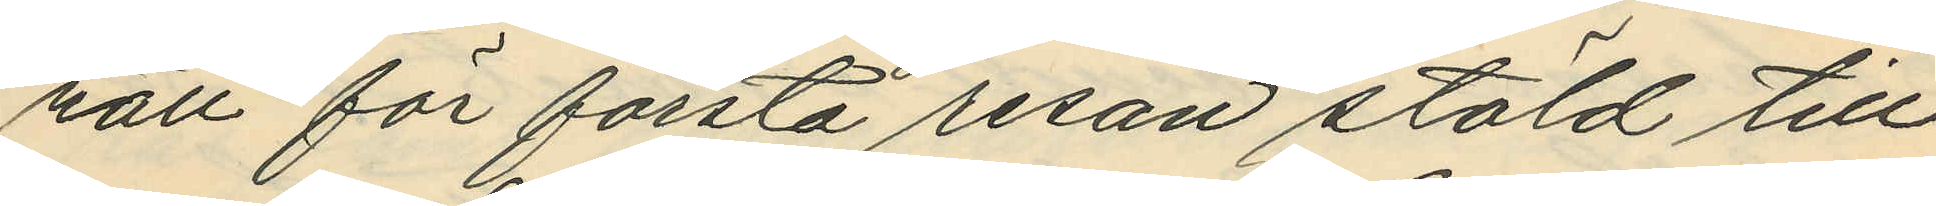rätt för första resan stöld till
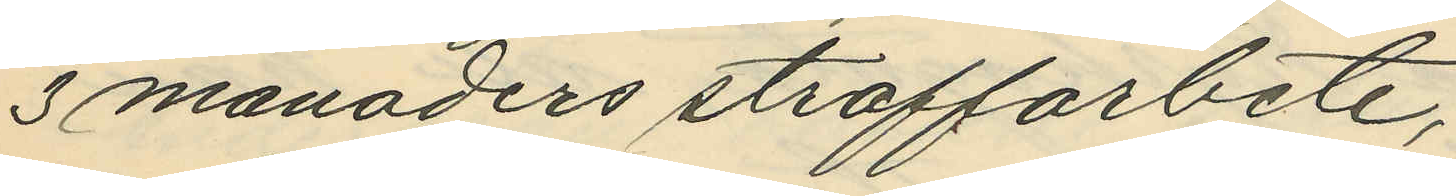3 manaders straffarbete;
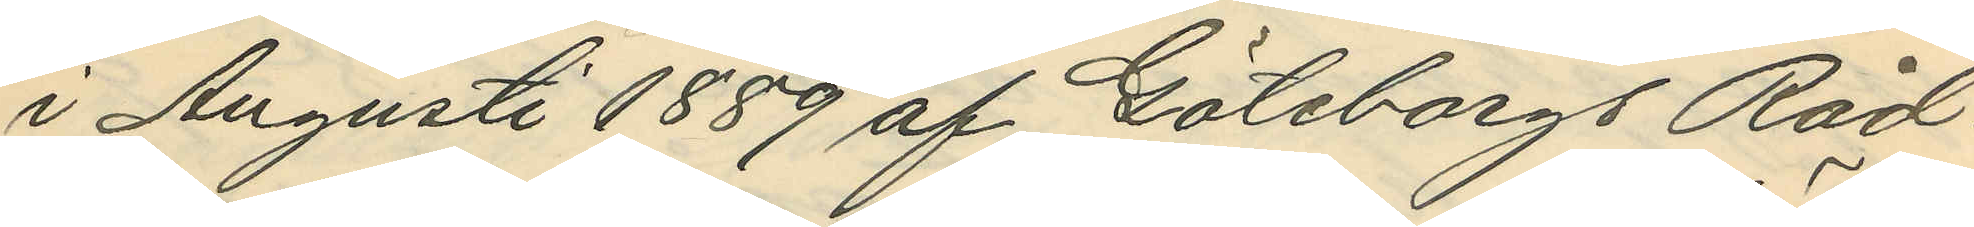i Augusti 1889 af Göteborgs Råd¬
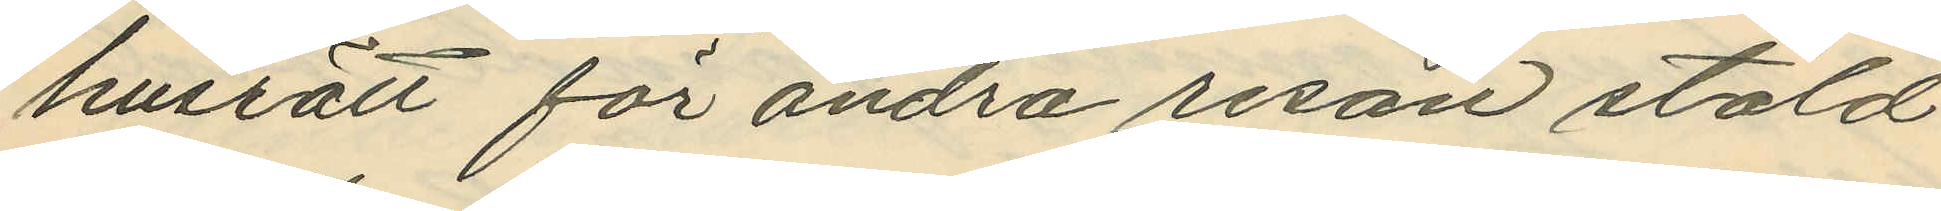husrätt för andra resan stöld
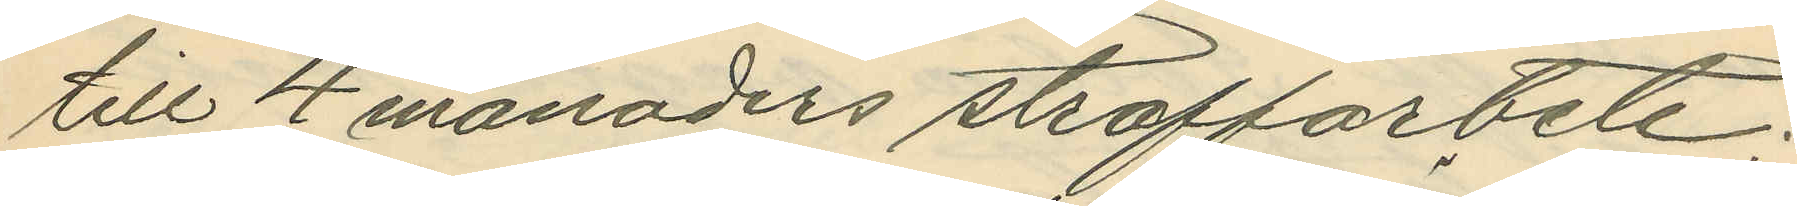till 4 månaders straffarbete,
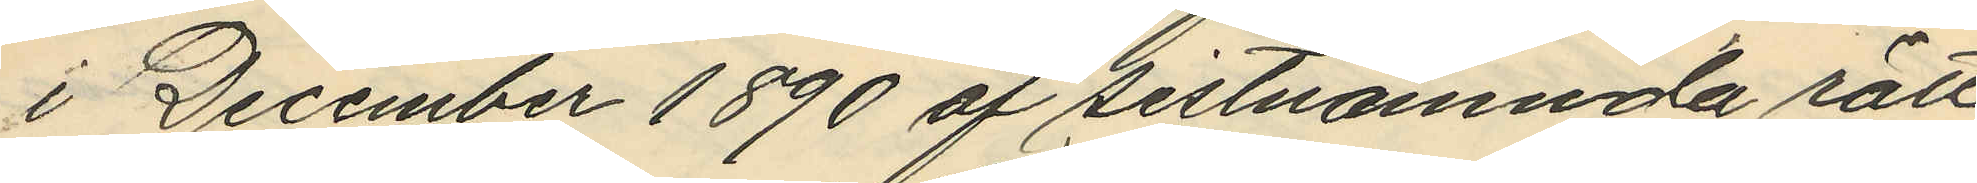i December 1890 af sistnämnda rätt
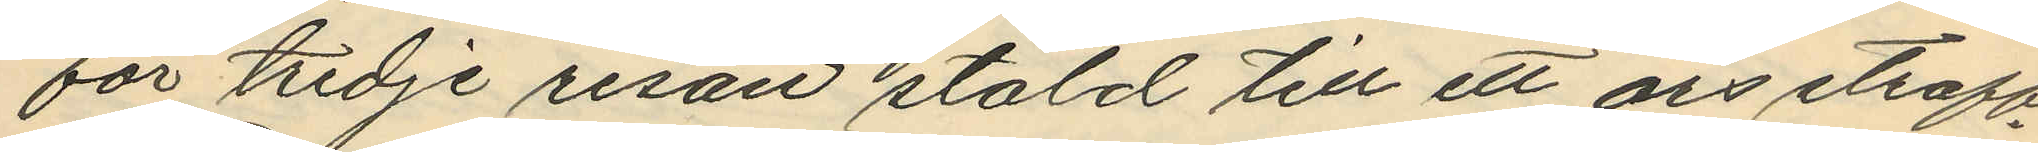för tredje resan stöld till ett års straff¬
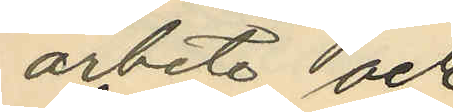arbete och
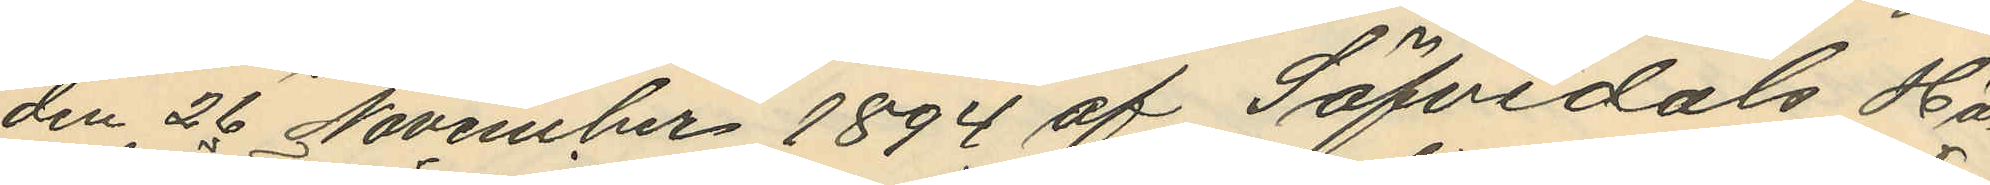den 26 November 1894 af Säfvedals Hä¬
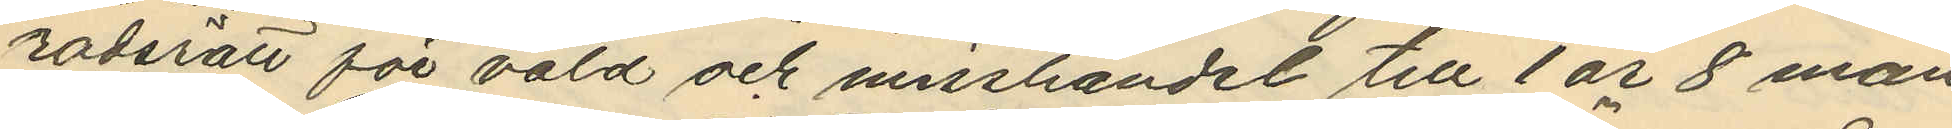radsrätt för våld och misshandet till 1 år 8 mån.
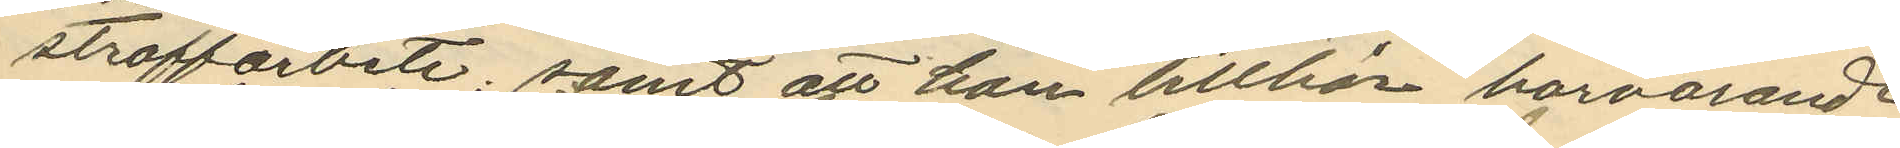straffarbete; samt att han tillhör härvarande
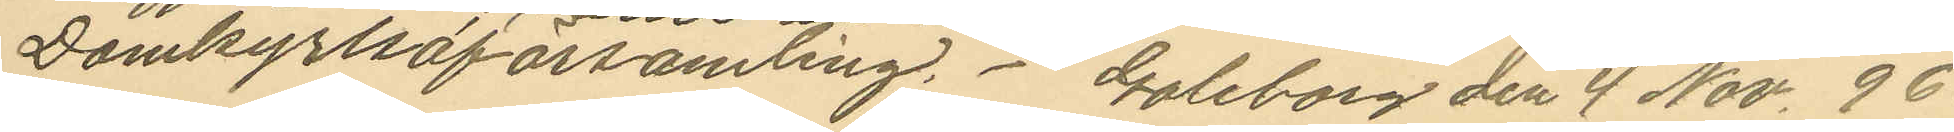Domkyrkoförsamling. Goleborg den 4 Nov. 96.
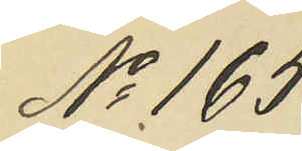No 165.
